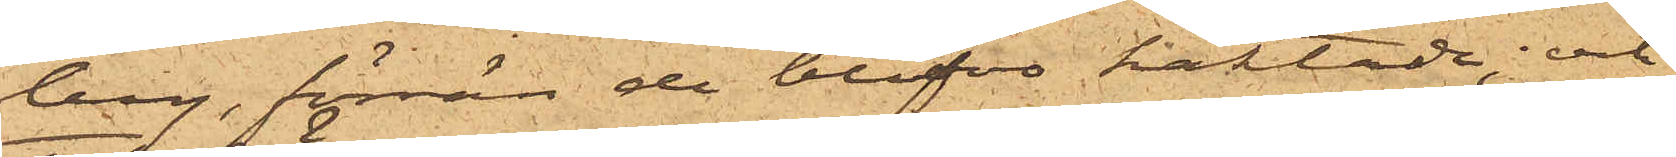berg, förrän de blifvit häktade; och
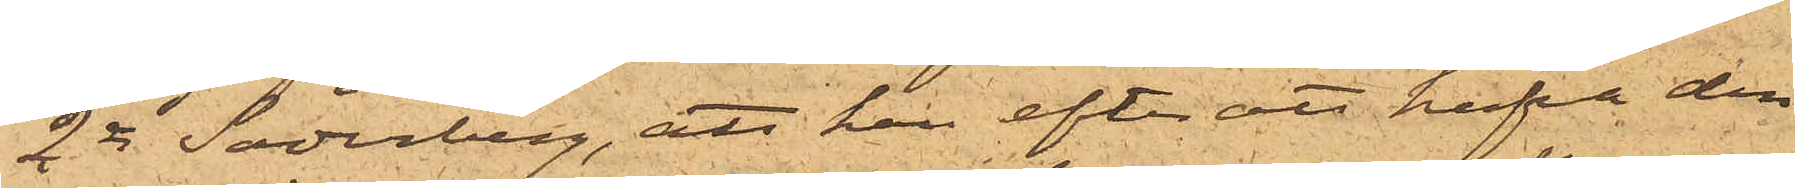2o Söderberg, att han efter att hafva den
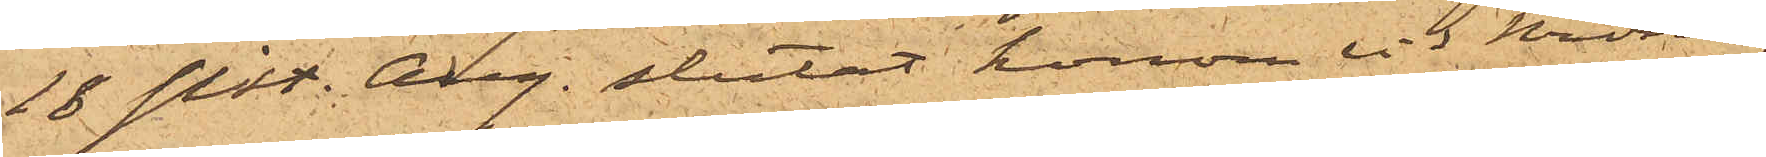18 sist. Aug. slutat honom vid Krono¬
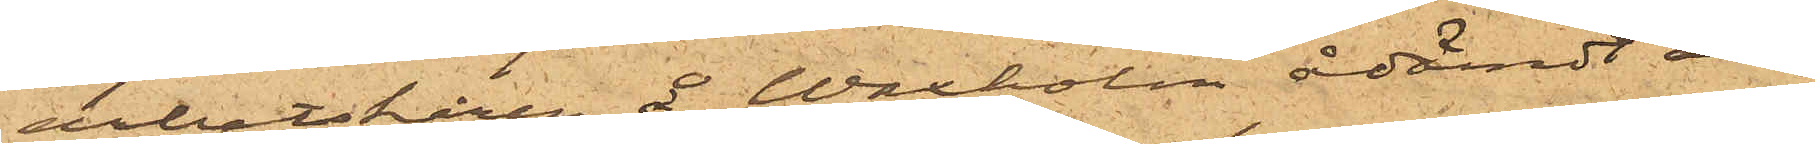arbetskåren å Waxholm ådömdt all¬
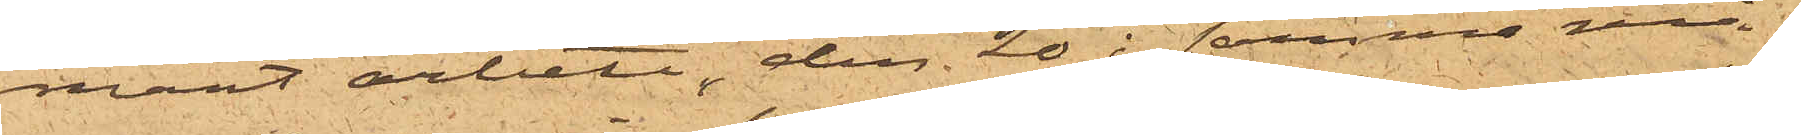mänt arbete, den 20 i samma må¬
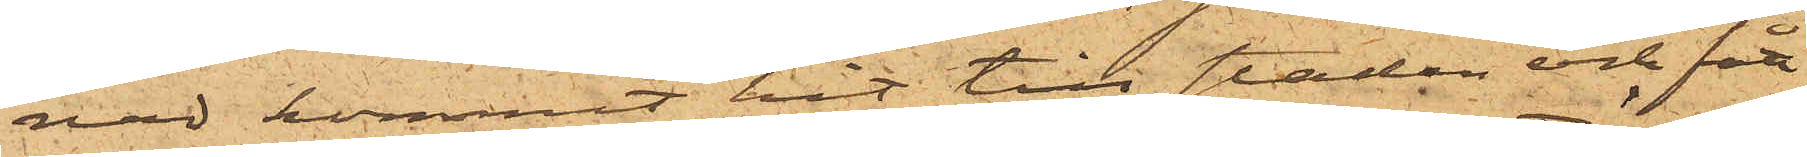nad kommit hit till staden och fått
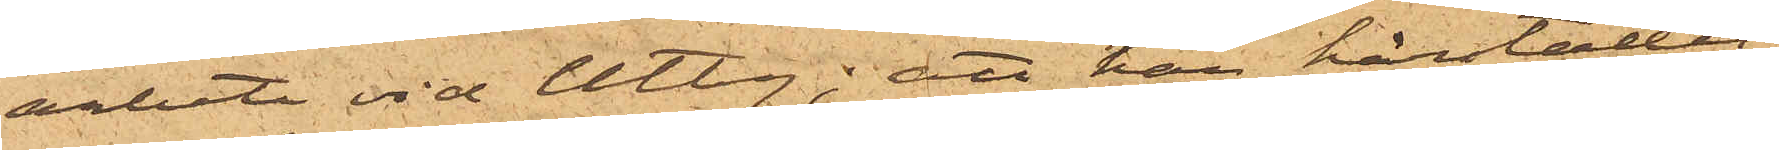arbete vid Utby; att han härstädes
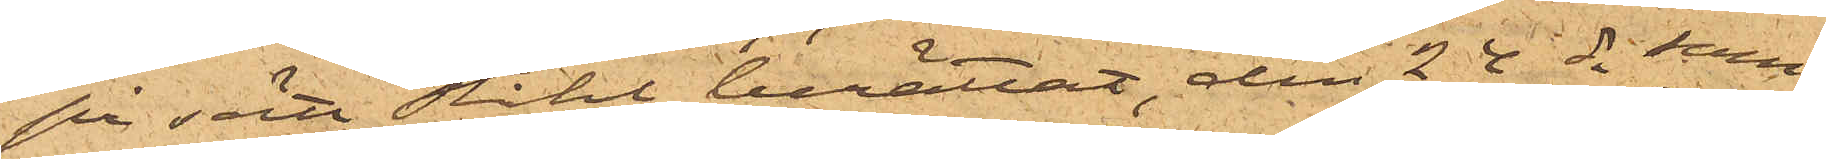på sätt Ståhl berättat, den 24 ds sam¬
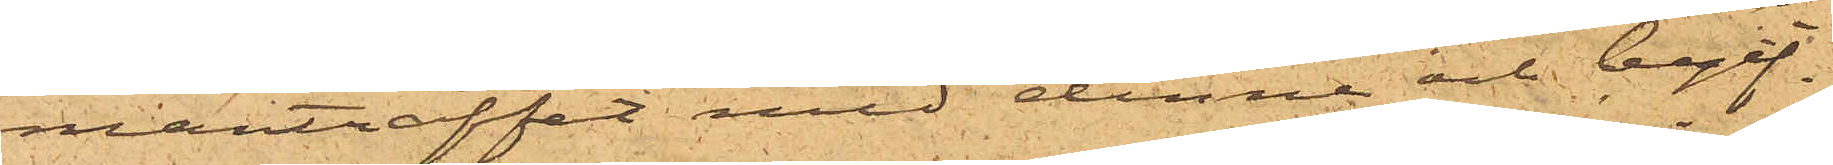manträffat med denne och begif¬
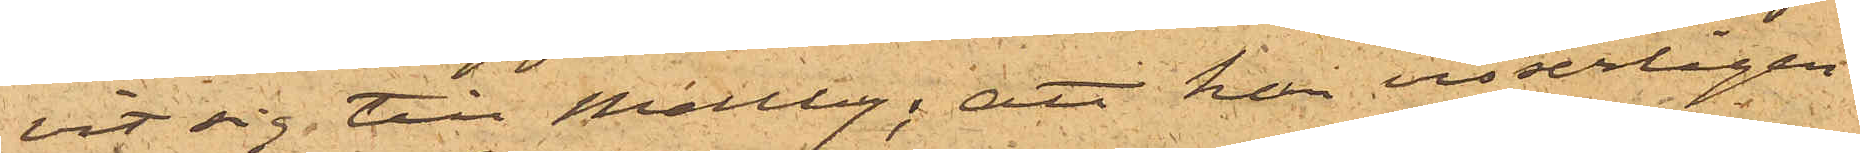vit sig till Mellby; att han visserligen
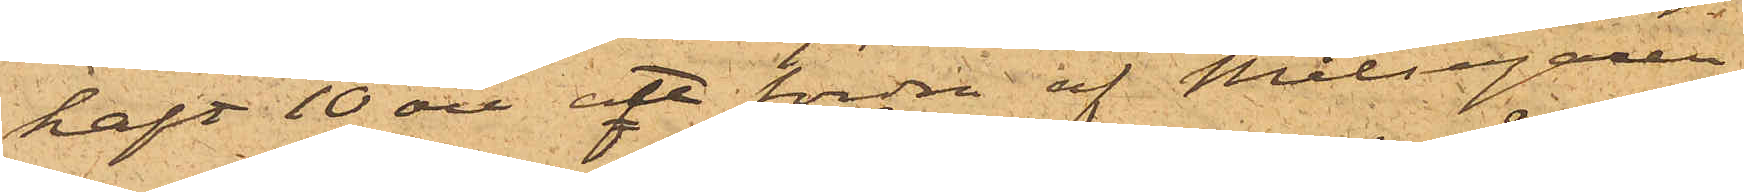haft 10 öre att fordra af Målsegaren
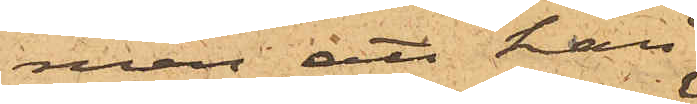men att han
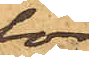för
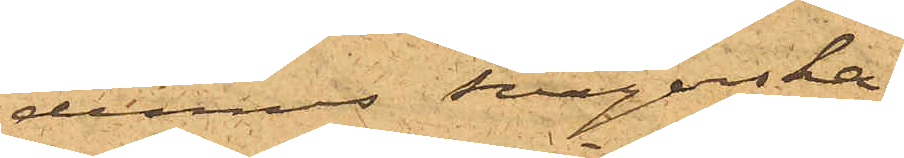dennes svägerska,
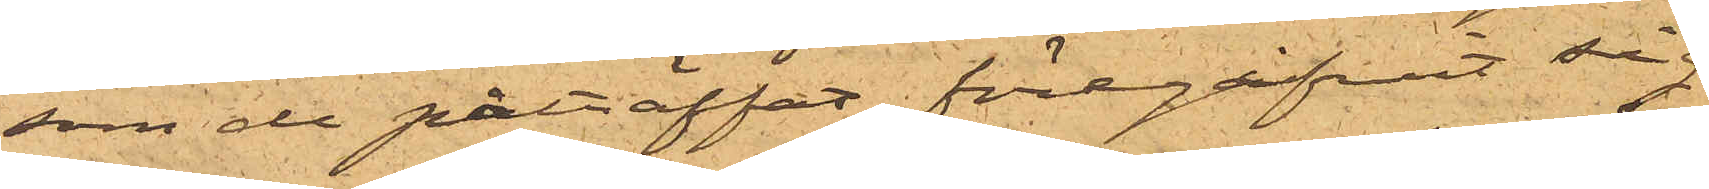som de påträffat, föregifvit sig
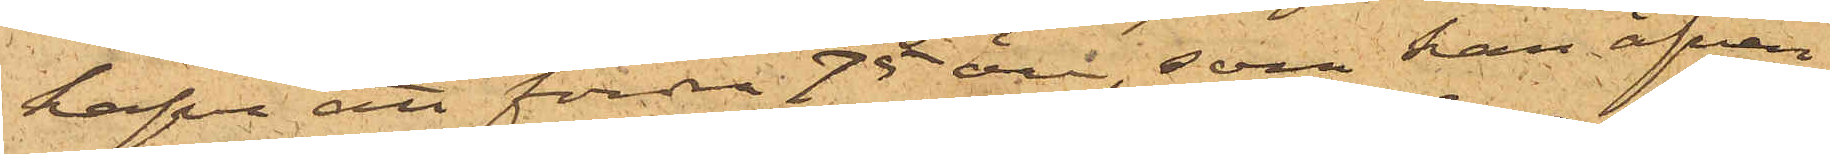hafva att fordra 75 öre, som han äfven
